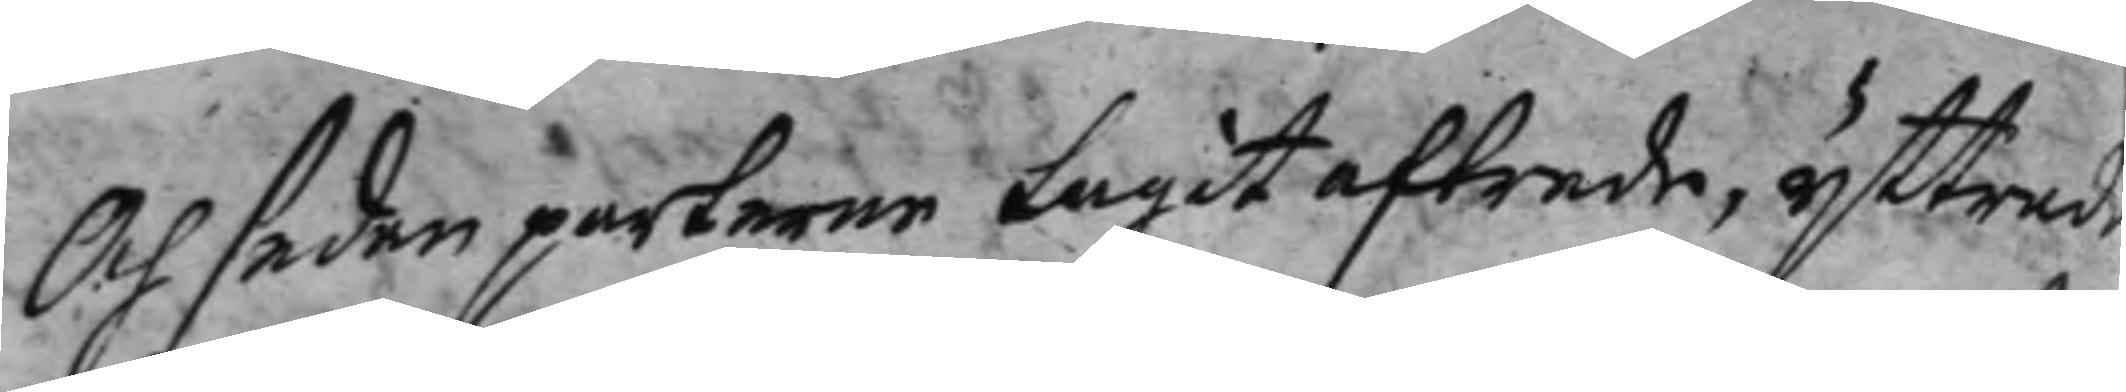Och sedan parterne tagit aftrede, yttrade
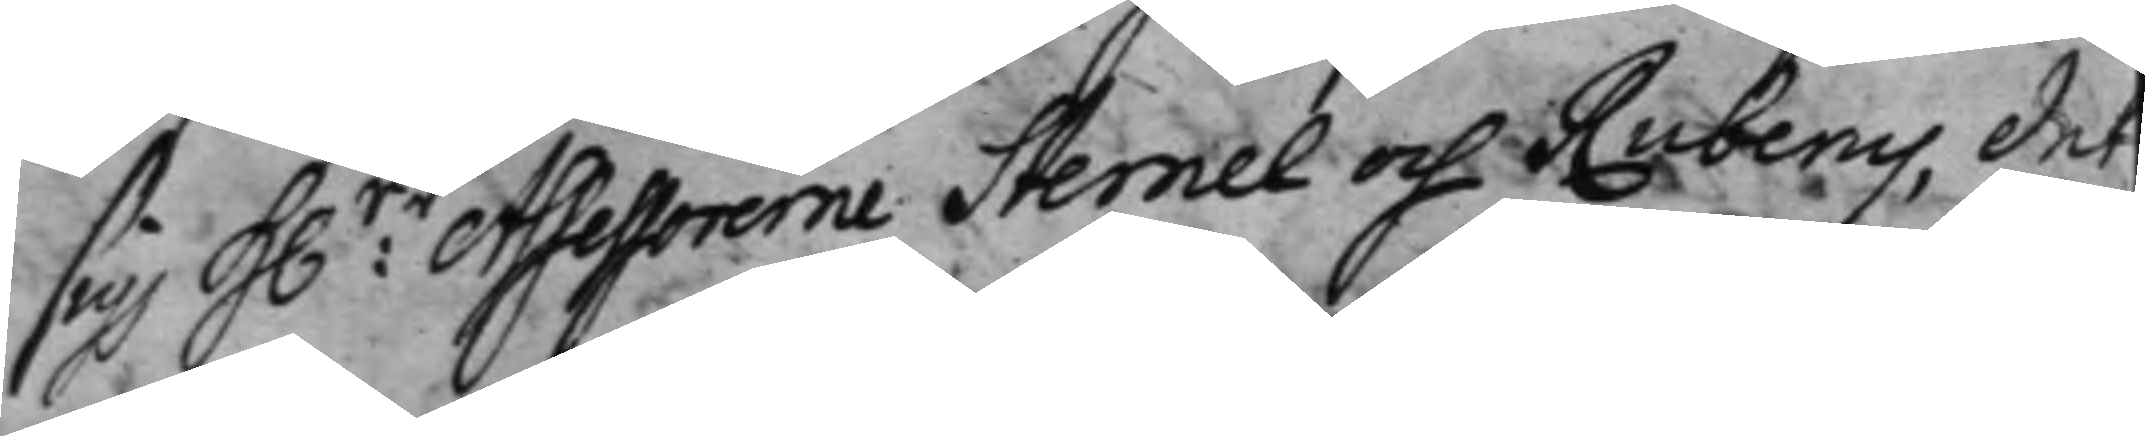sig hr: Assessorerne Sternel och Ruberus, det
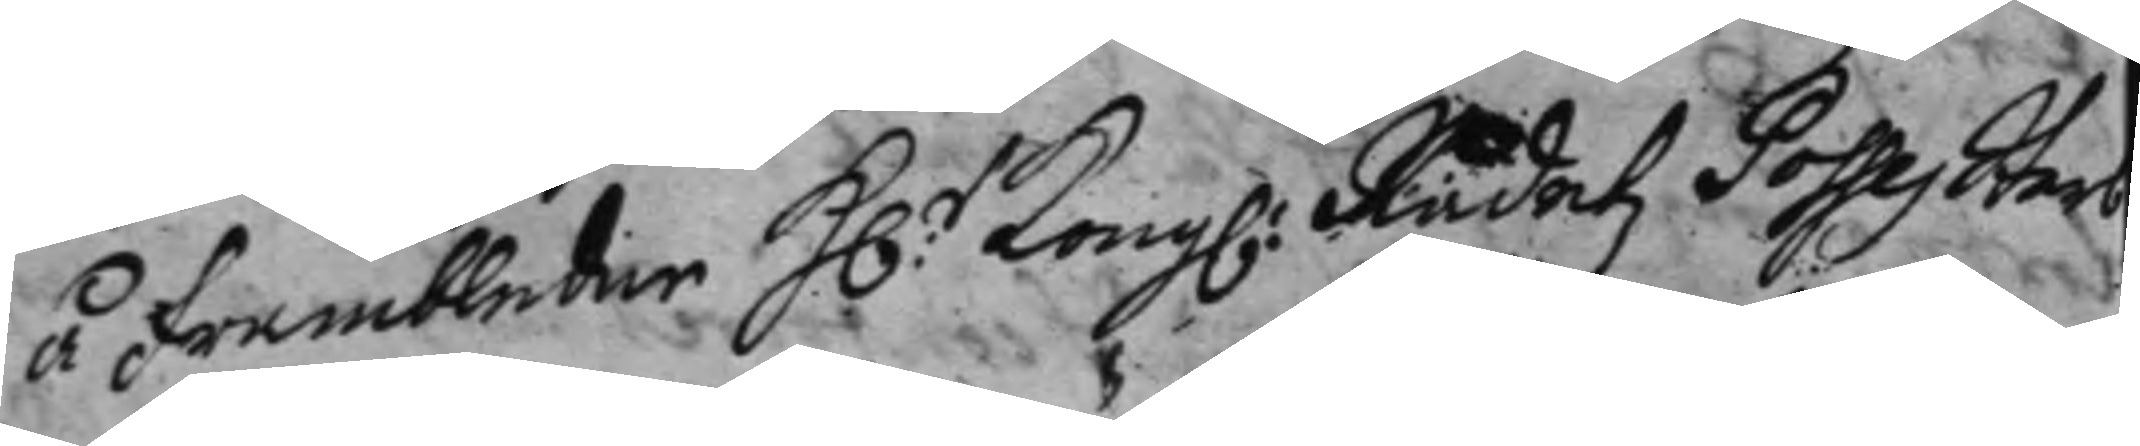å frambledne hr: Kong: Rådetz Posses Sterb¬
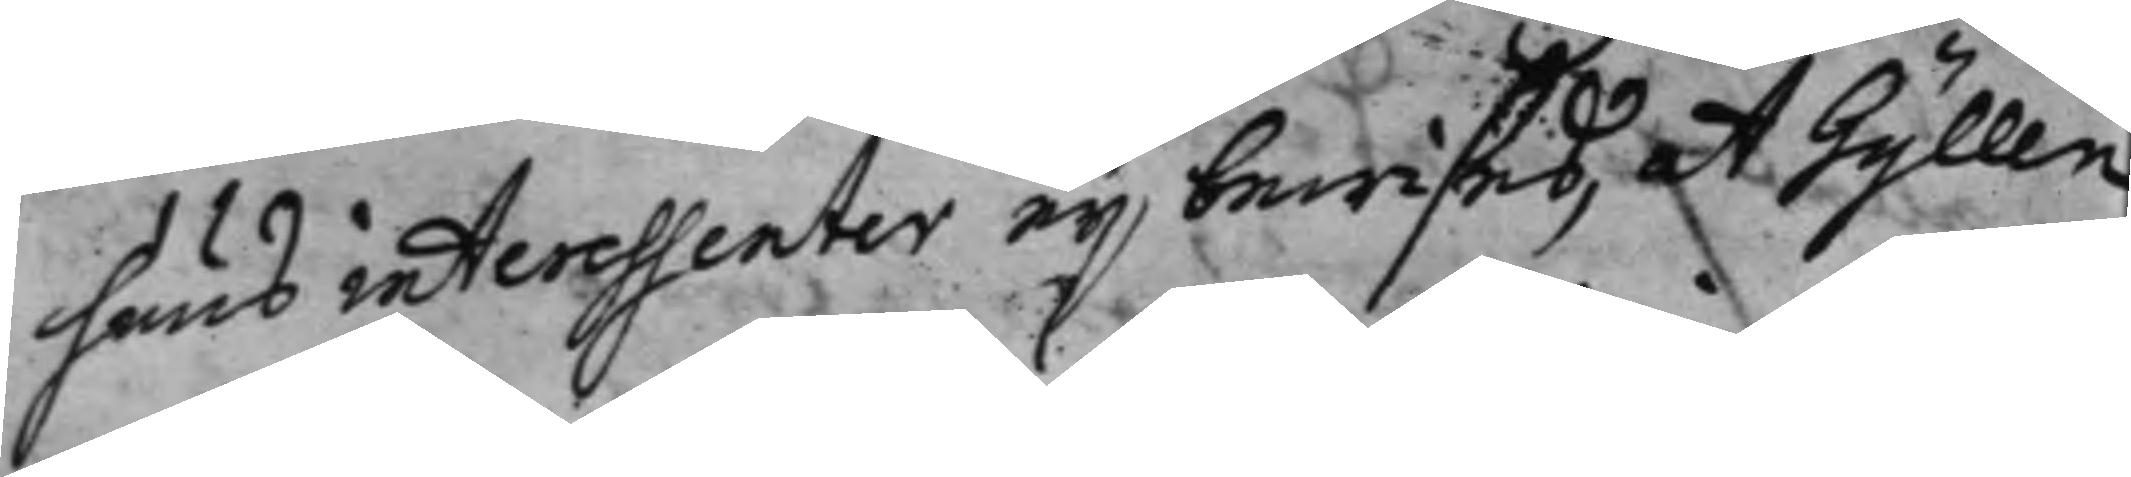huus interessenter ej bewißes, at Gyllen¬
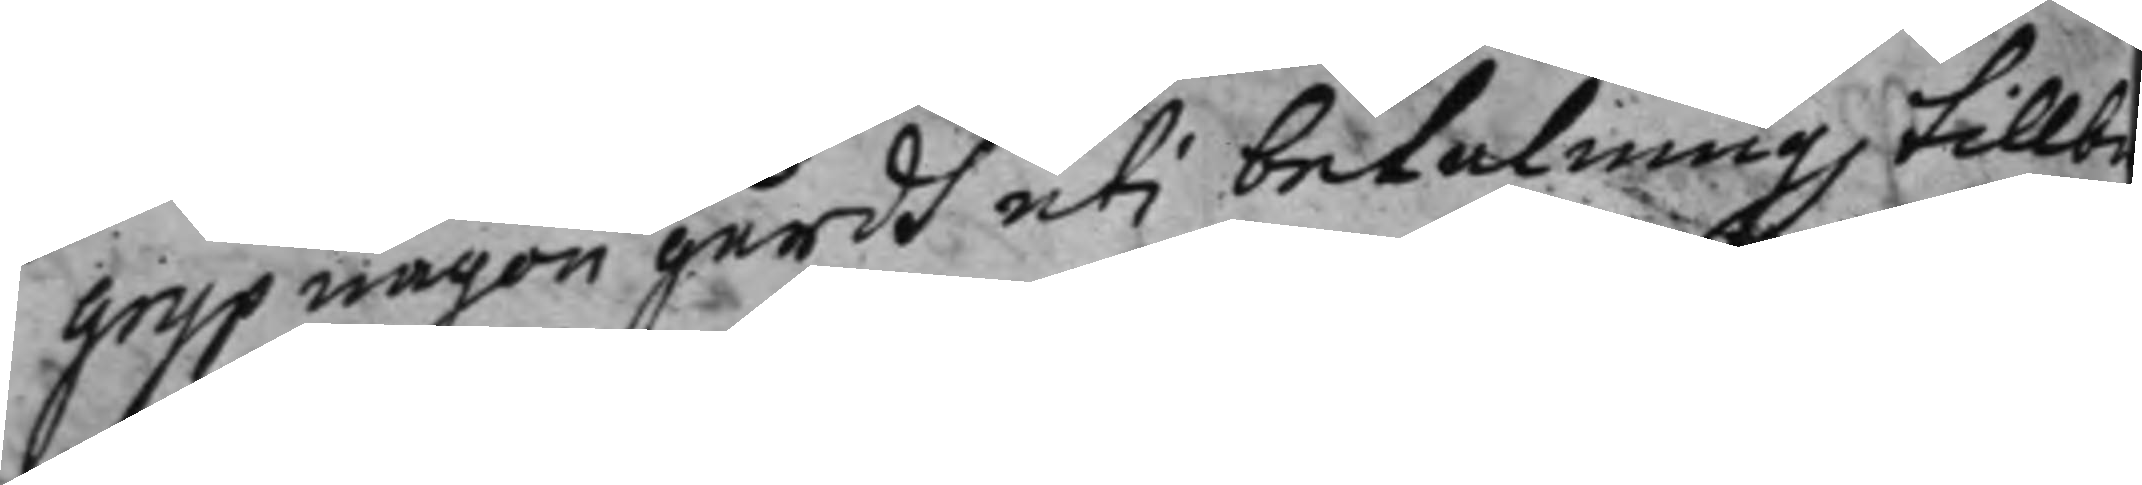grijp någon gårdh uti betalning tillb
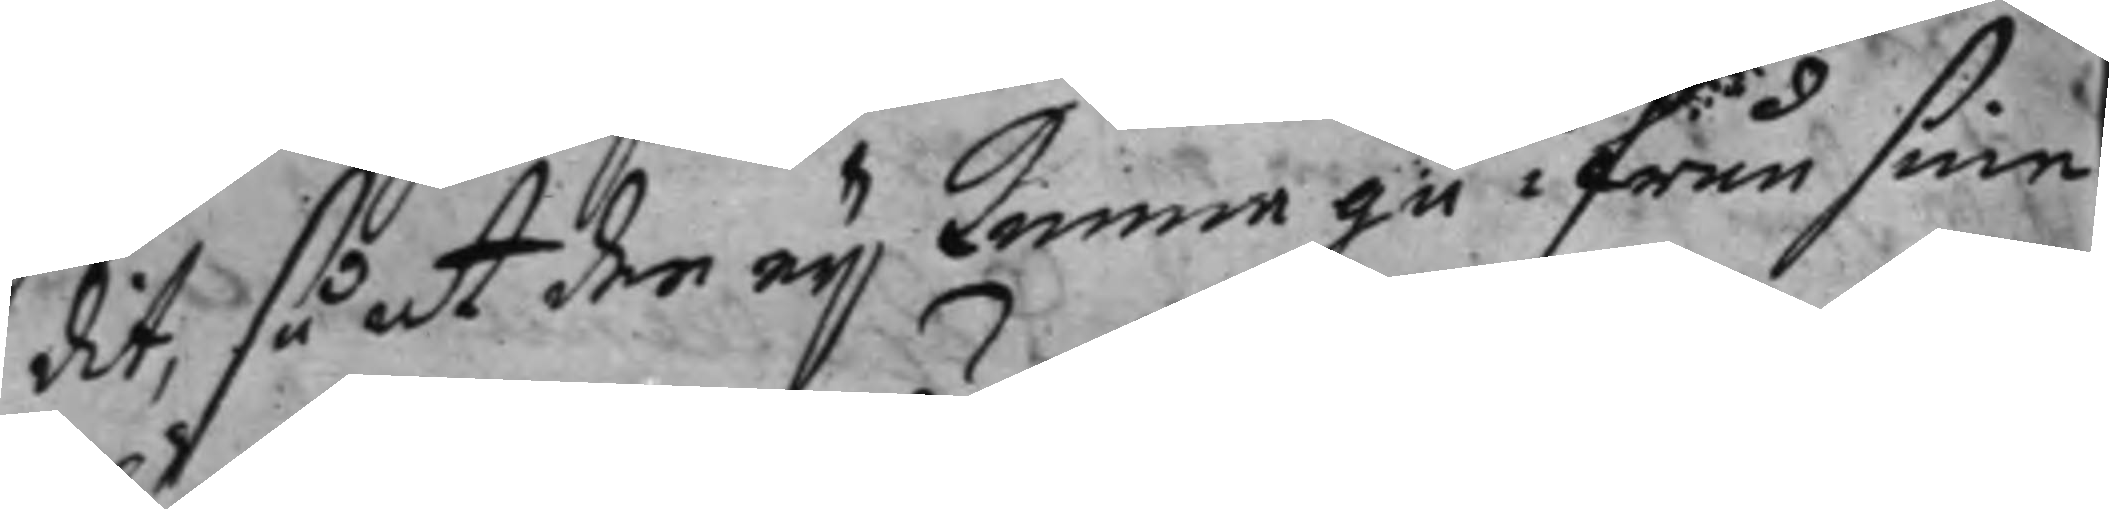dit, så at de ej kunna gå ifrån sine
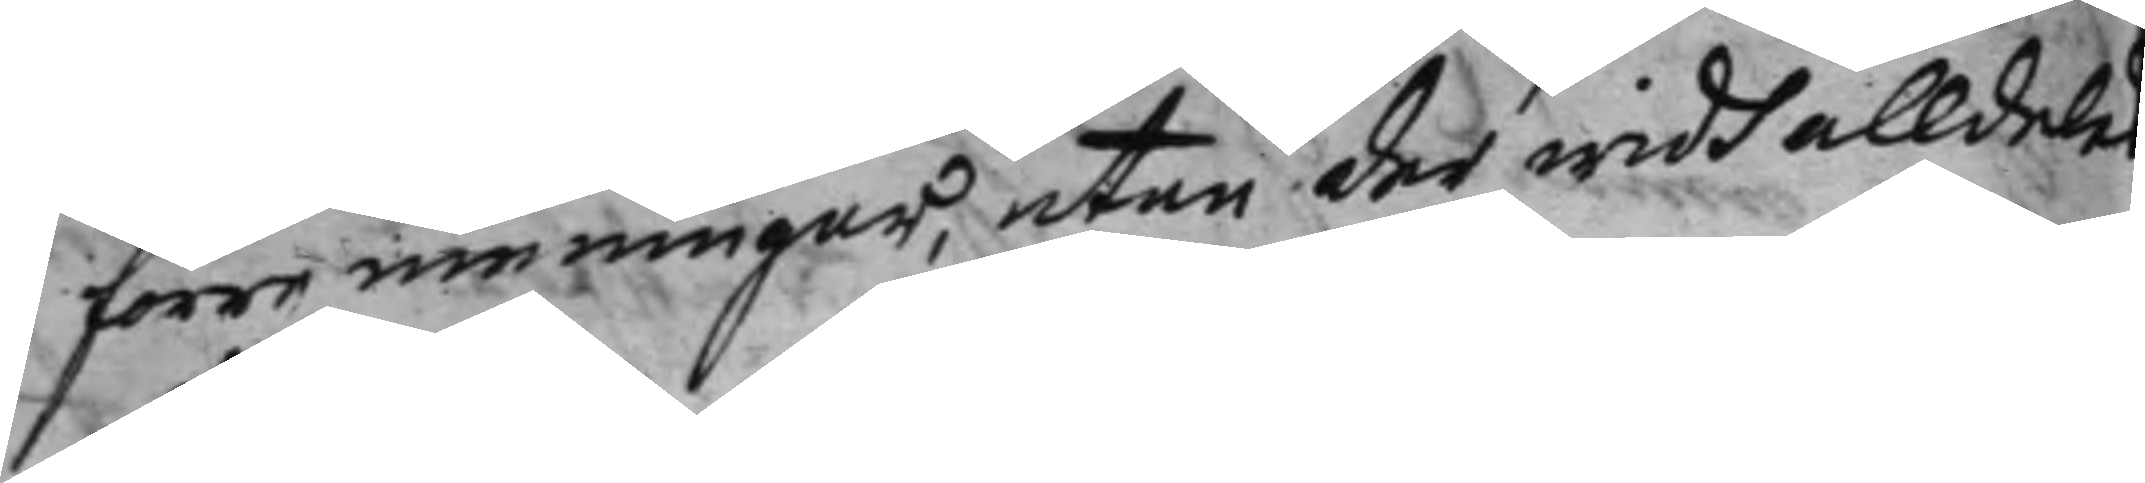förre meningar, utan der widh alldeles
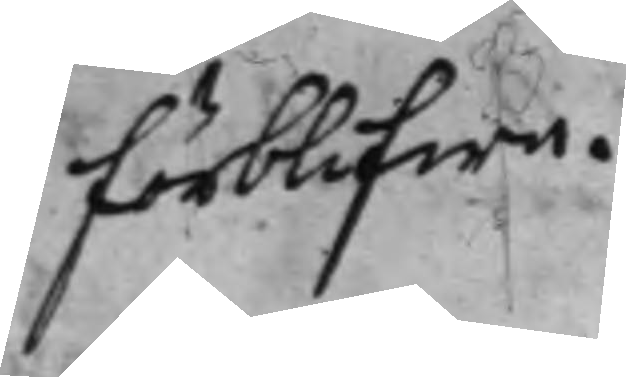förblifwe.
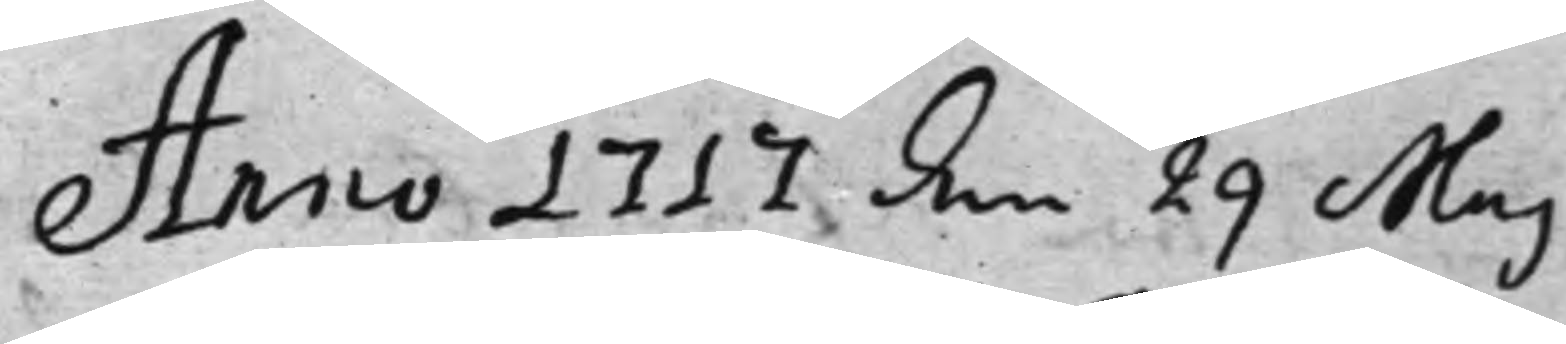Anno 1717 den 29 Maj
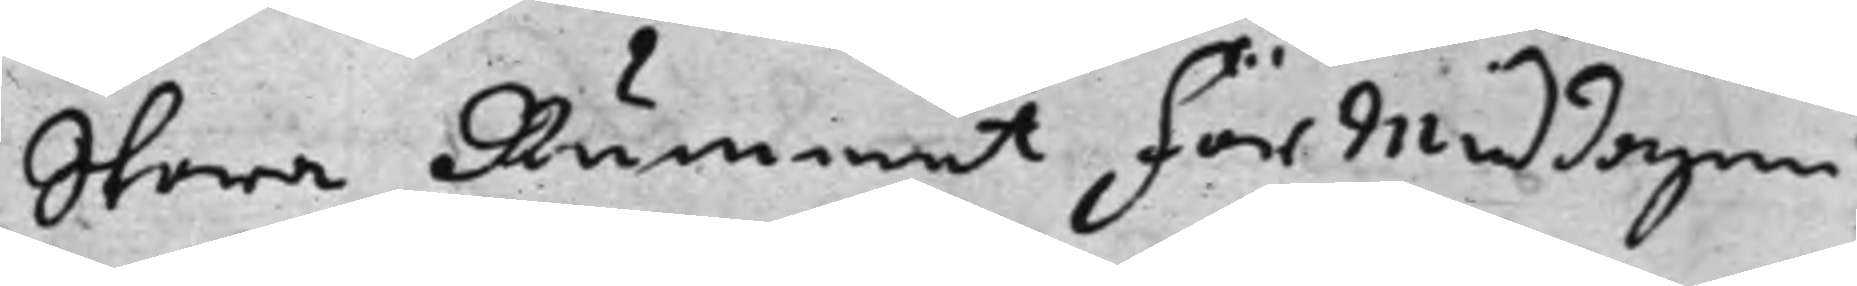Stora Rummet förmiddagen
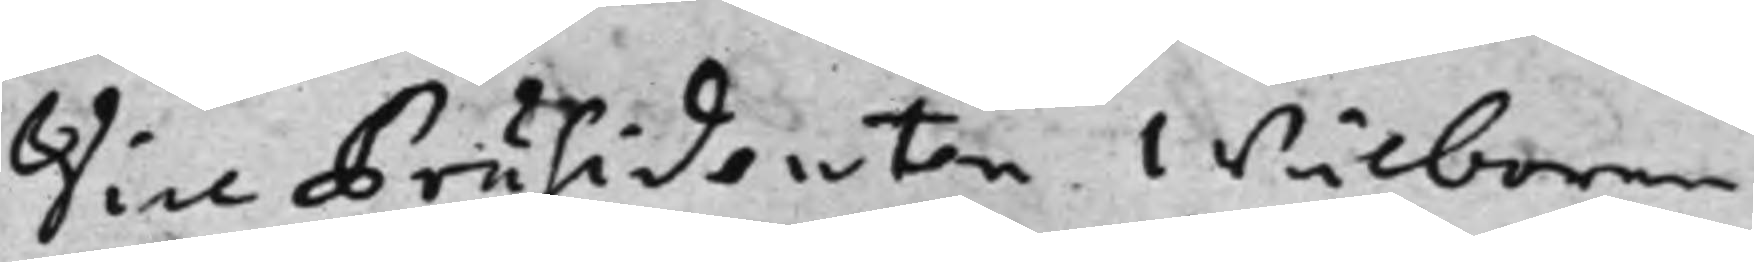Vice Präsidenten wälborne
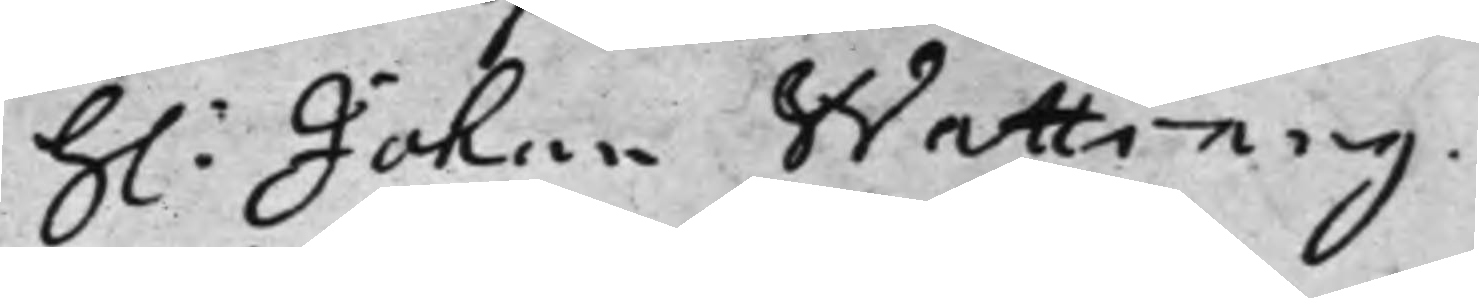h: Johan Wattrang.
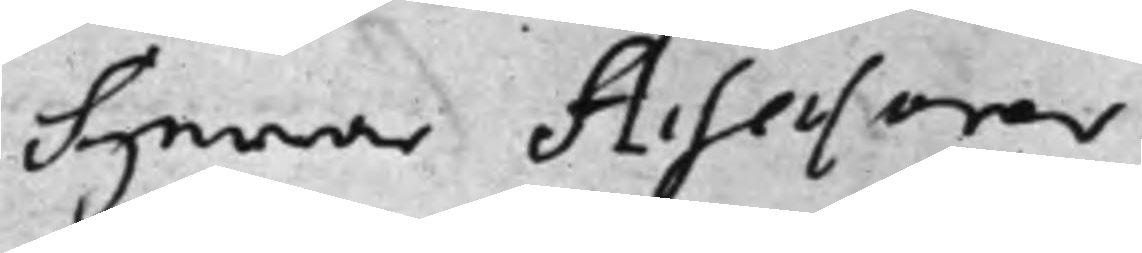Herrar Assessorer
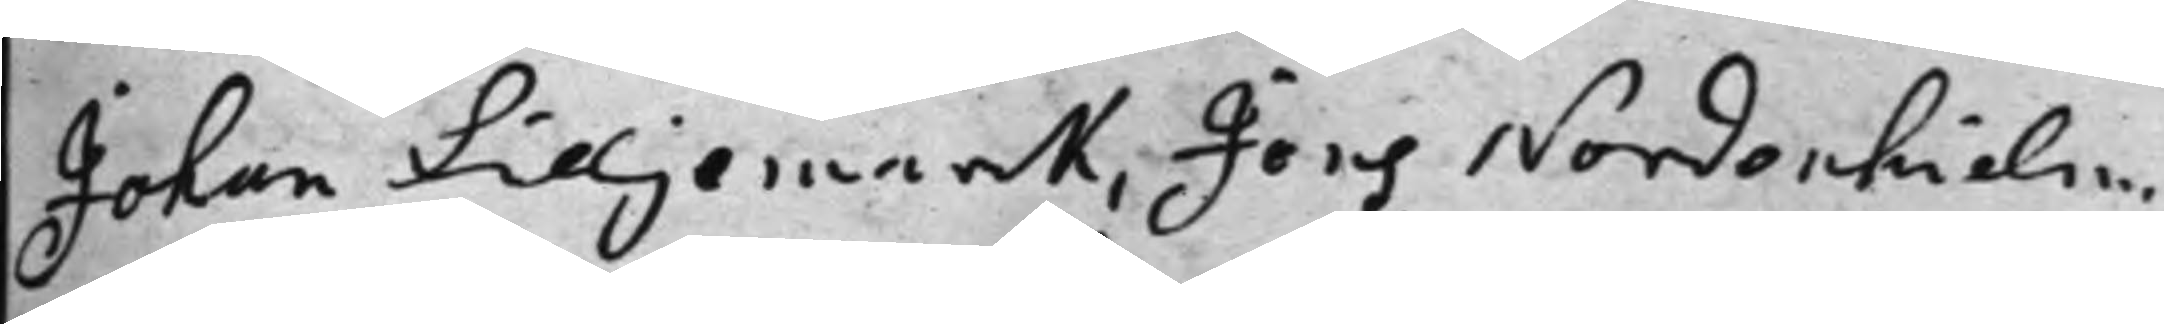Johan Lilljemarck, Jöns Nordenhielm,
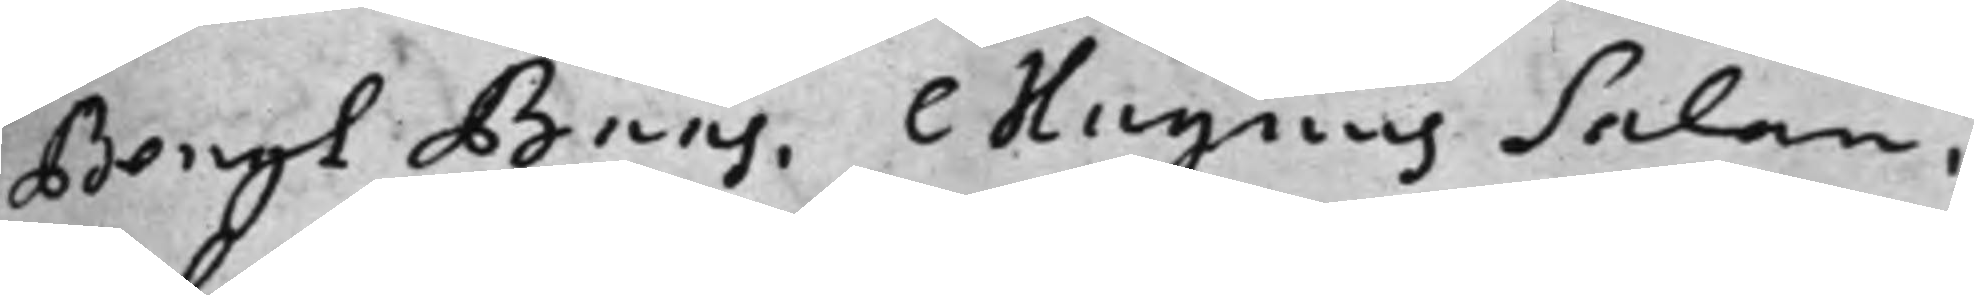Bengt Baas, Magnus Salan,
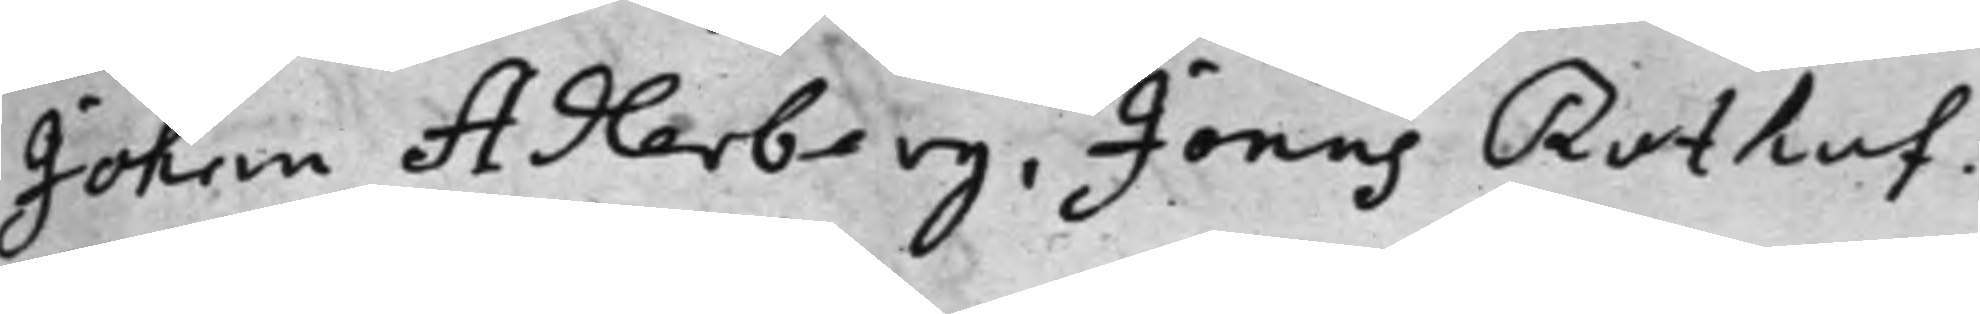Johan Adlerberg, Jonas Rothof.
